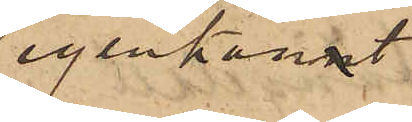igenkännt
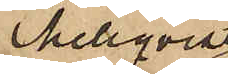Mellqvist
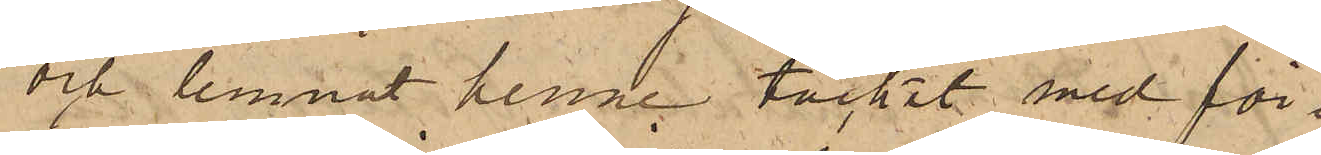och lemnat henne täcket med för¬
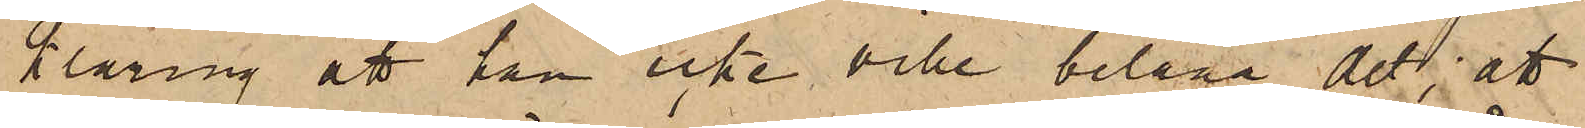klaring att han icke ville belåna det; att
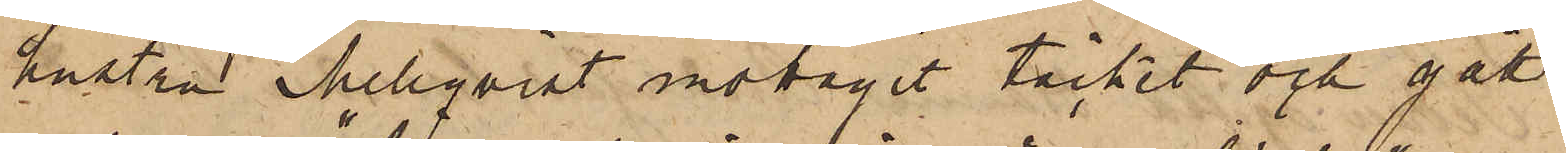hustru Mellqvist motagit täcket och gått
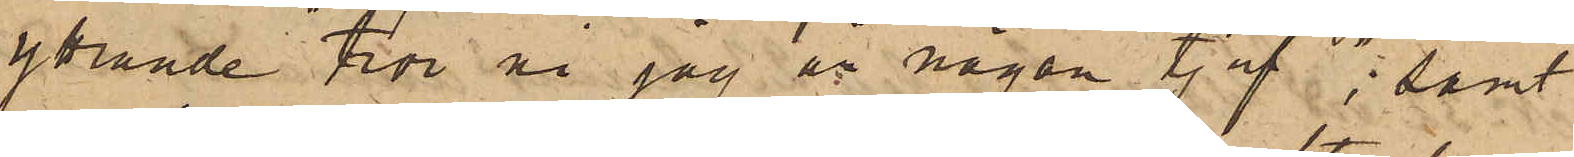yttrande "tror ni jag är någon tjuf"; samt
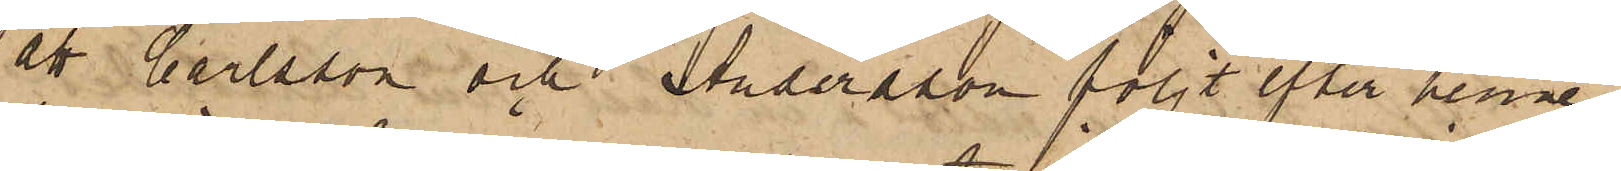att Carlsson och Andersson följt efter henne
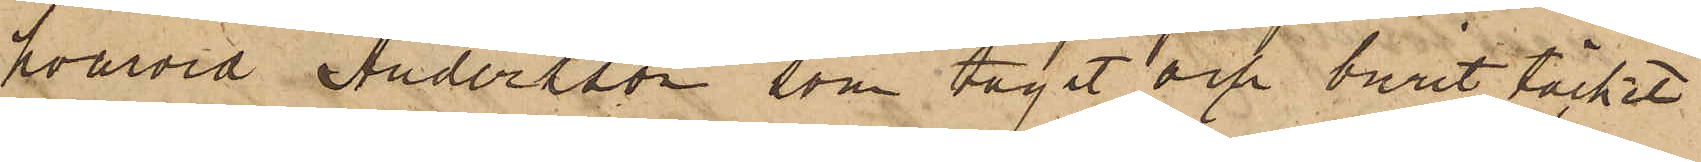hvarvid Andersson, som tagit och burit täcket
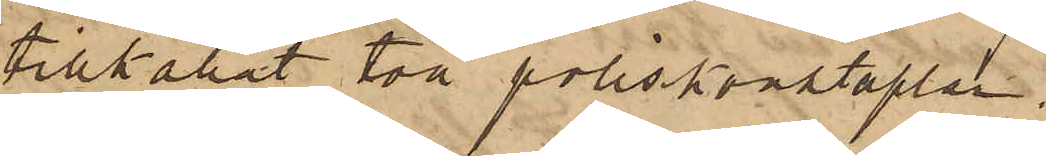tillkallat två poliskonstaplar.
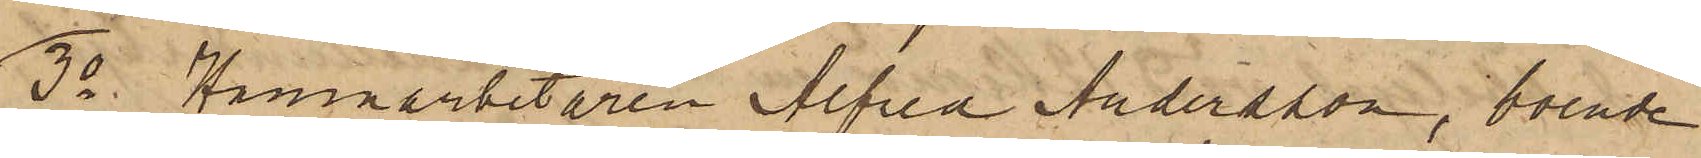3o Hamnarbetaren Alfred Andersson, boende
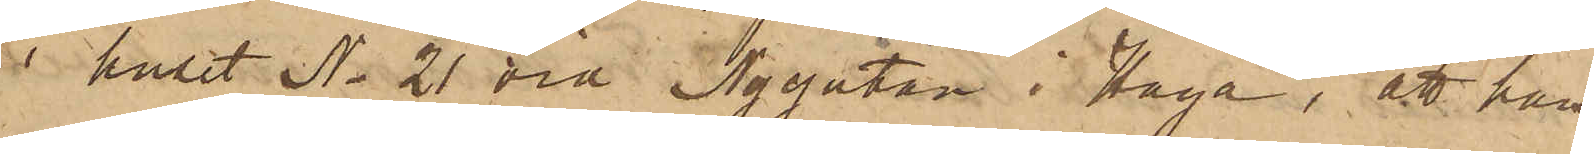i huset No 21 vid Nygatan i Haga, att han
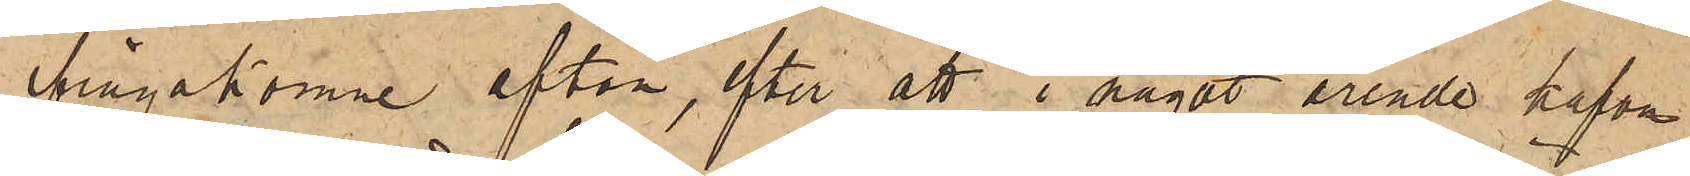ifrågakomne afton, efter att i något ärende hafva
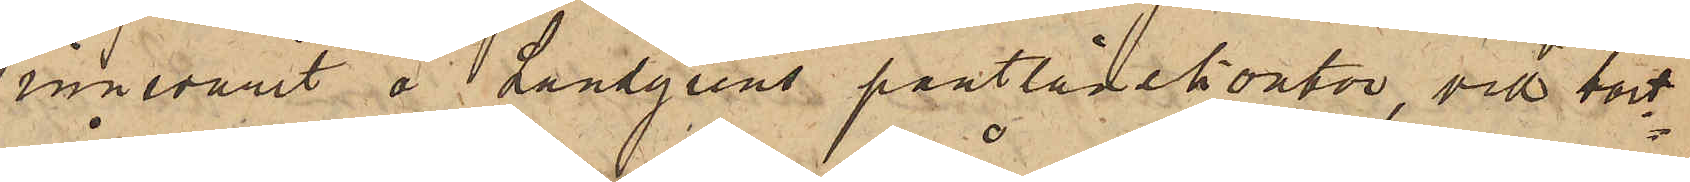innevarit å Landgrens pantlånekontor, vid bort¬
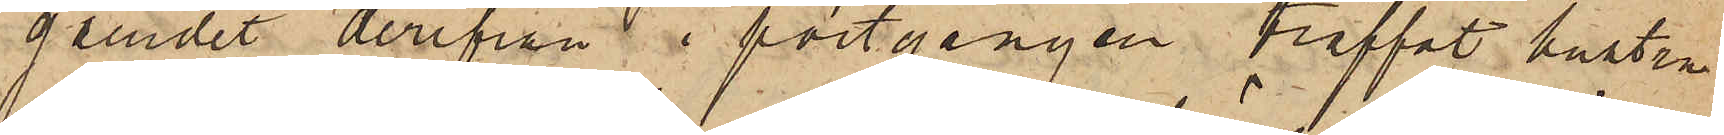gåendet derifrån i portgången träffat hustru
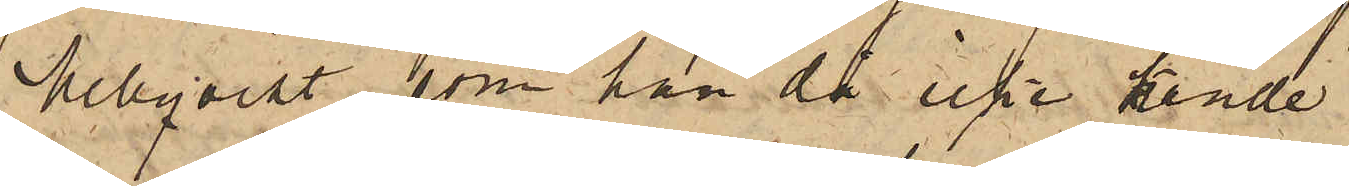Mellqvist, som han då icke kände
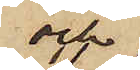och
